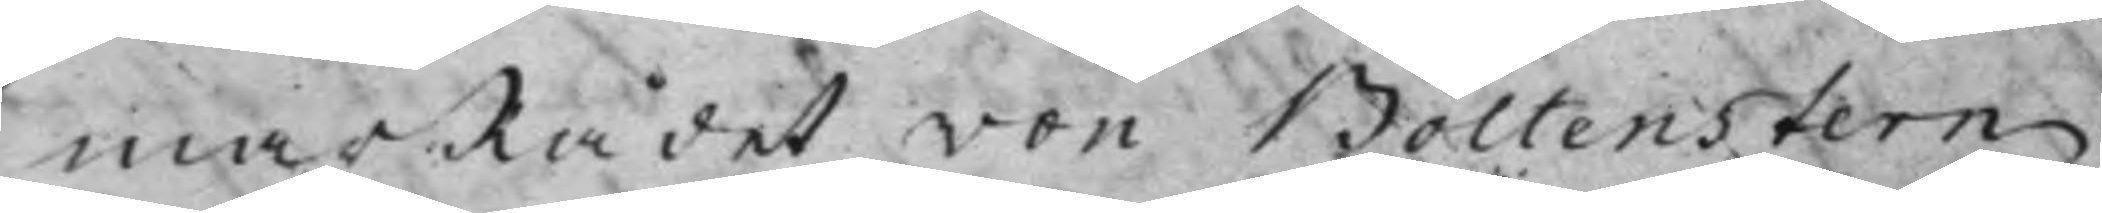marRådet von Boltenstern
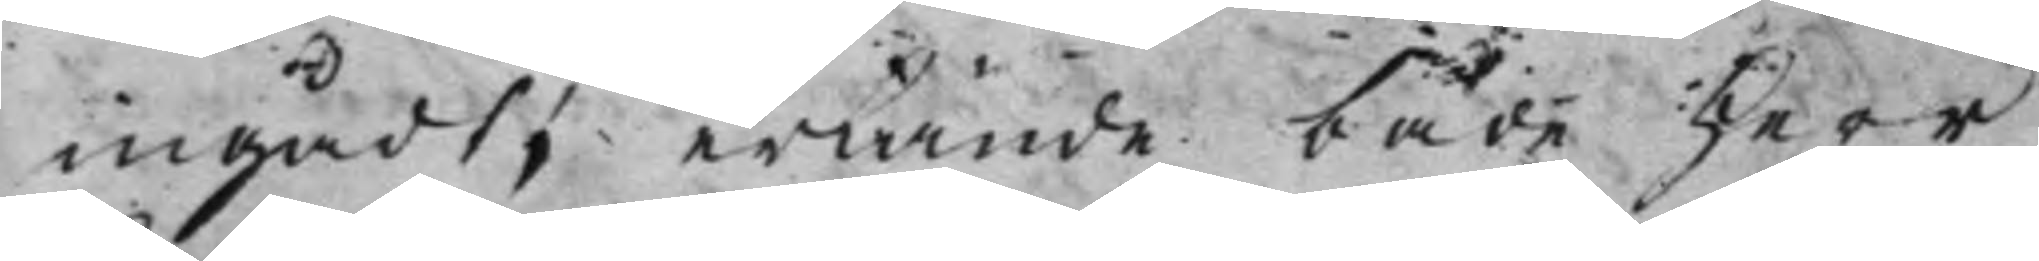ingådt, erkände både Herr
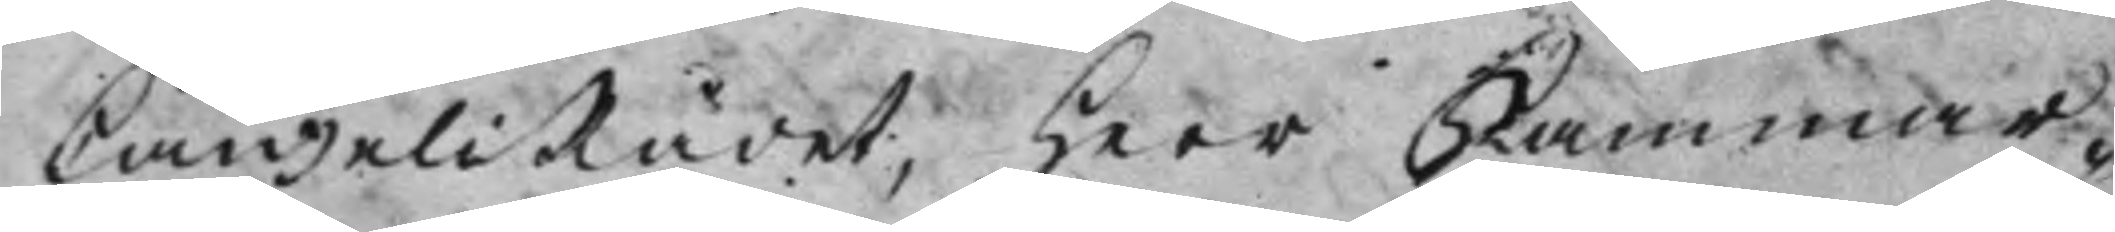CanzeliRådet, Herr Kammar¬
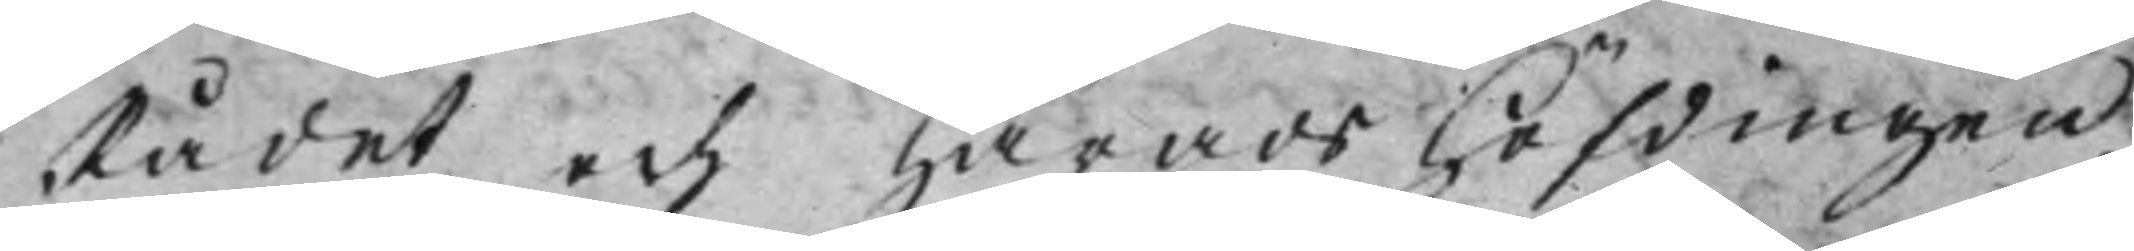Rådet och HäradsHöfdingen,
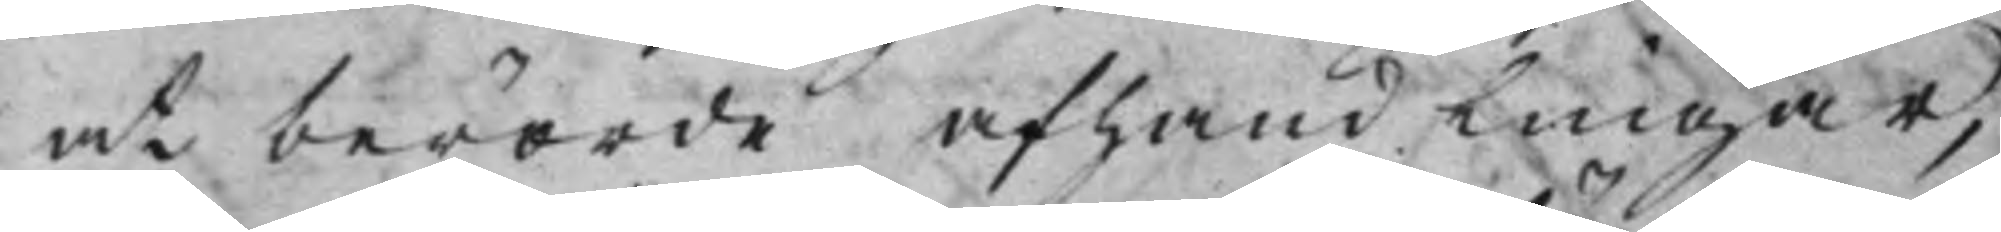at berörde afhandlingar,
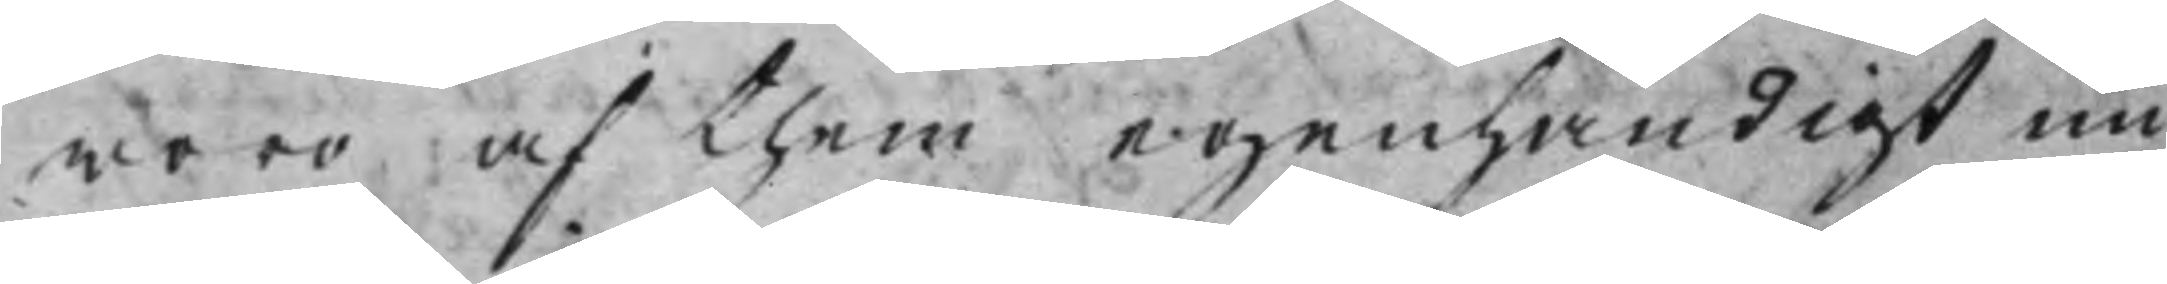woro af them egenhändigt un¬
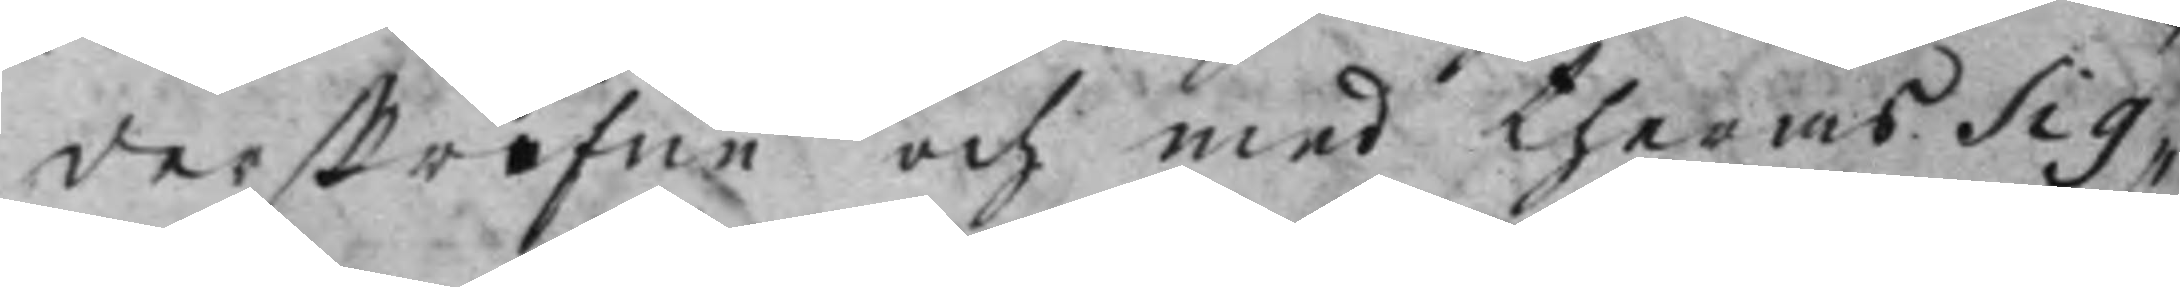derskrifne och med theras Sig¬
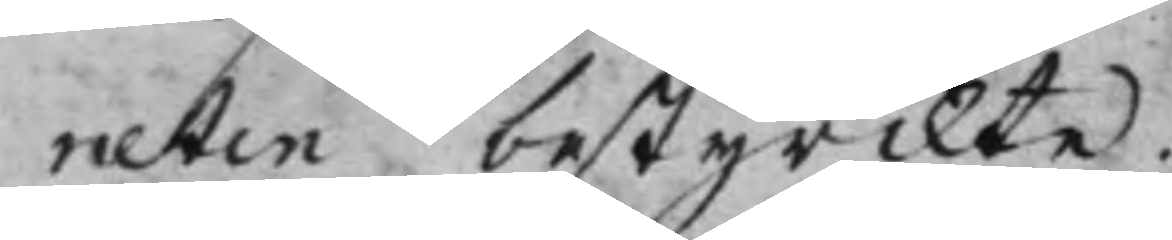neten bestyrckte.
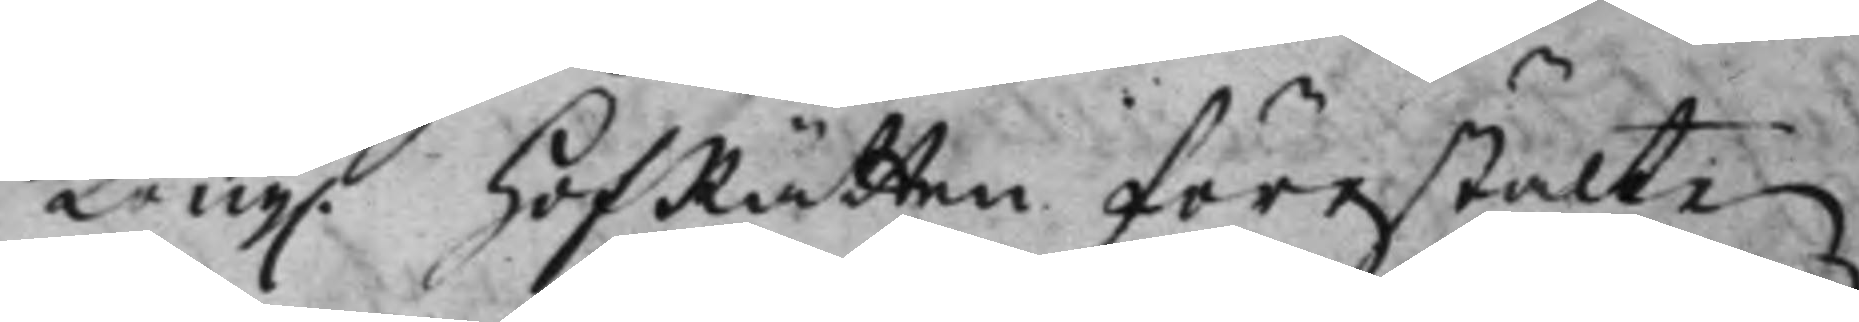Kong. HofRätten förestälte 
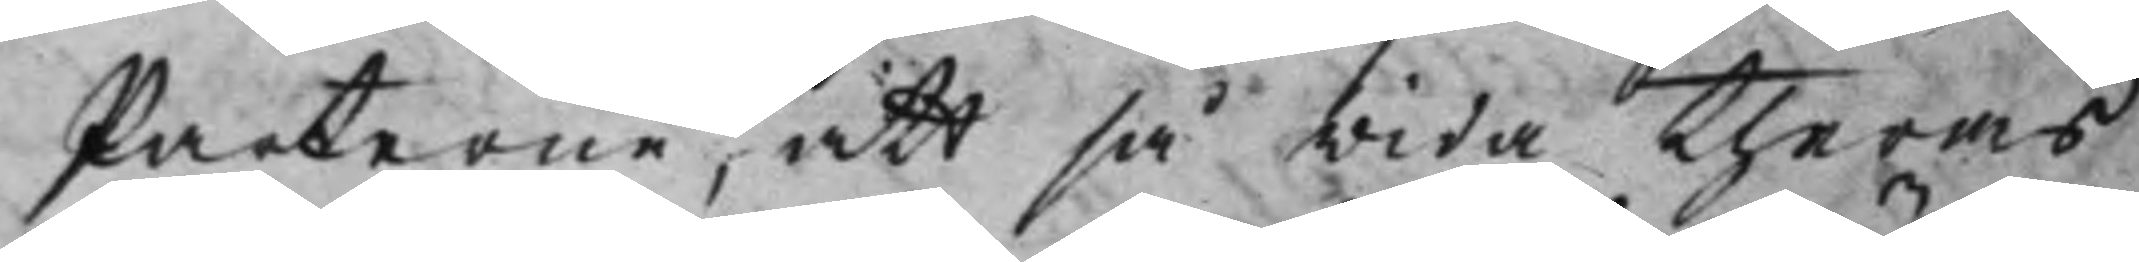Parterne, att så wida theras
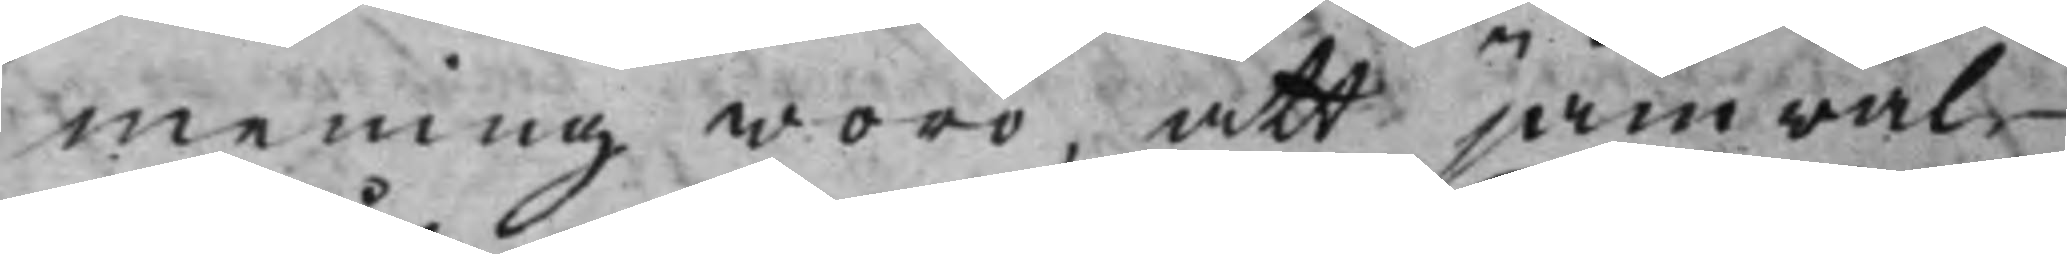mening woro, att jämwäl
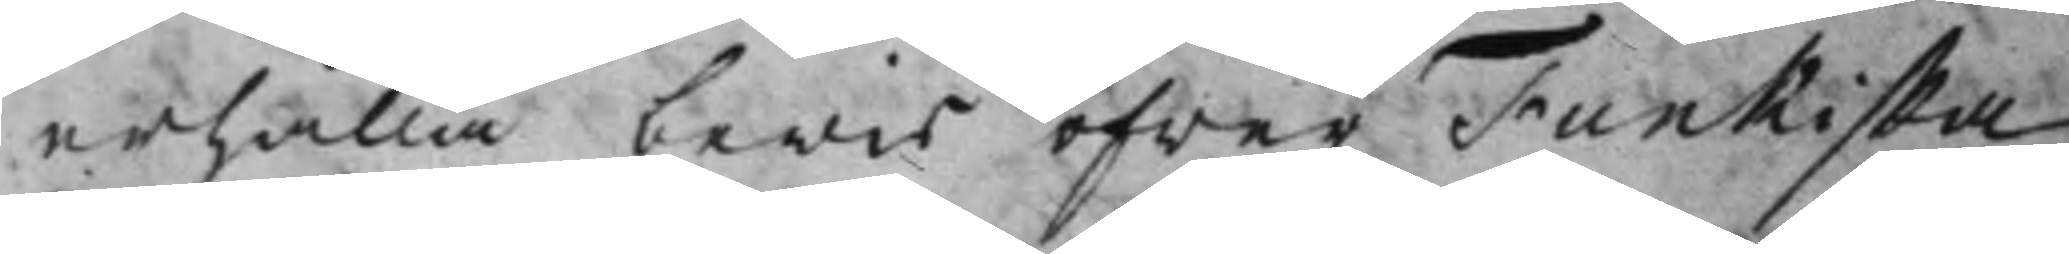erhålla bewis öfwer Funkiska
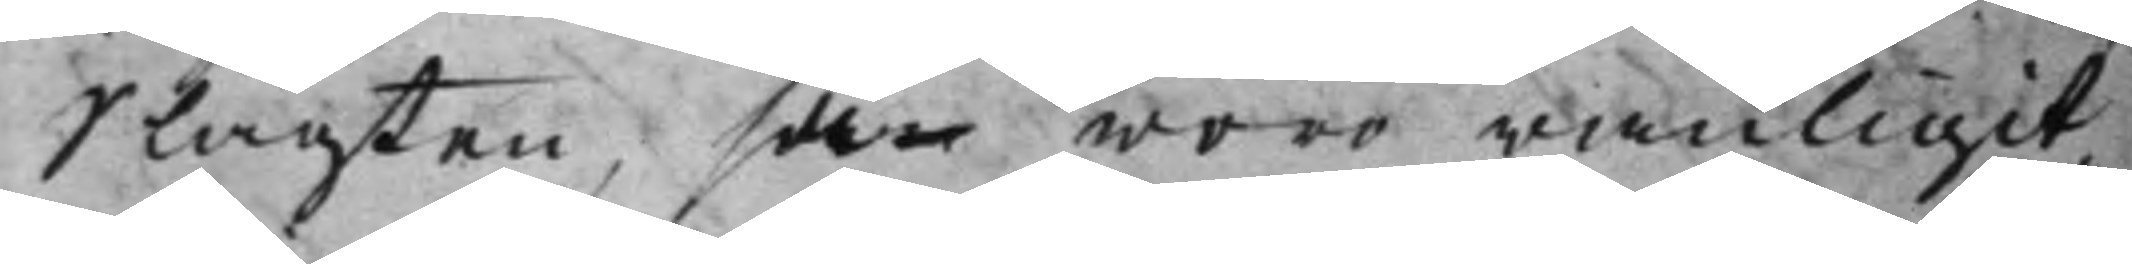Slägten, såm woro wanligit,
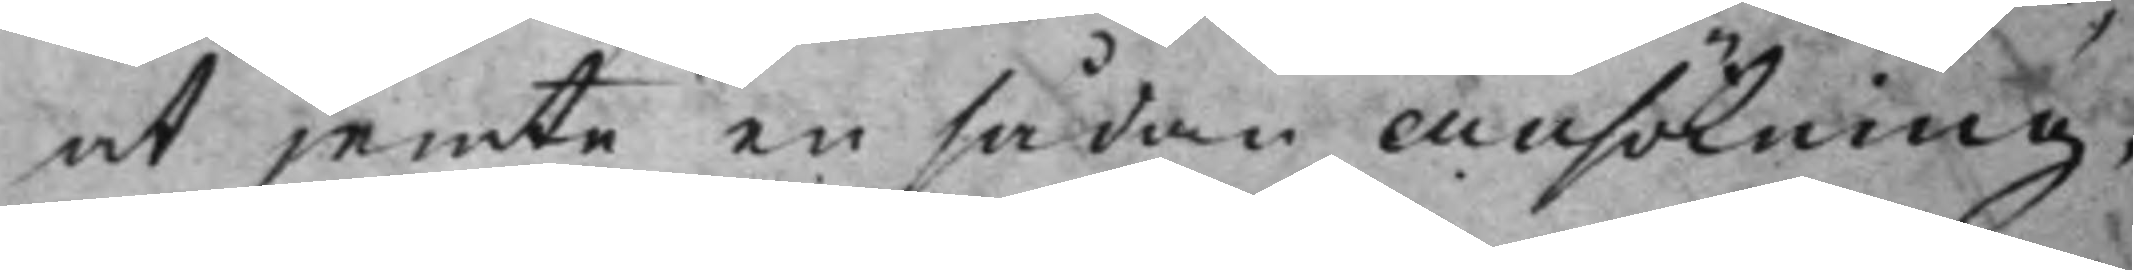at jemte en sådan ansökning,
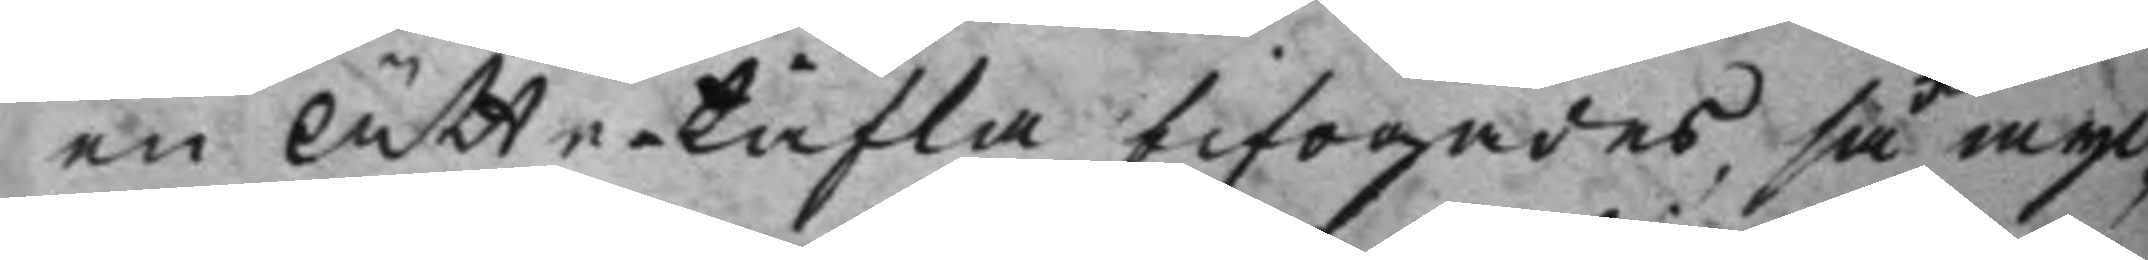en Ätte-tafla bifogades, så myc¬
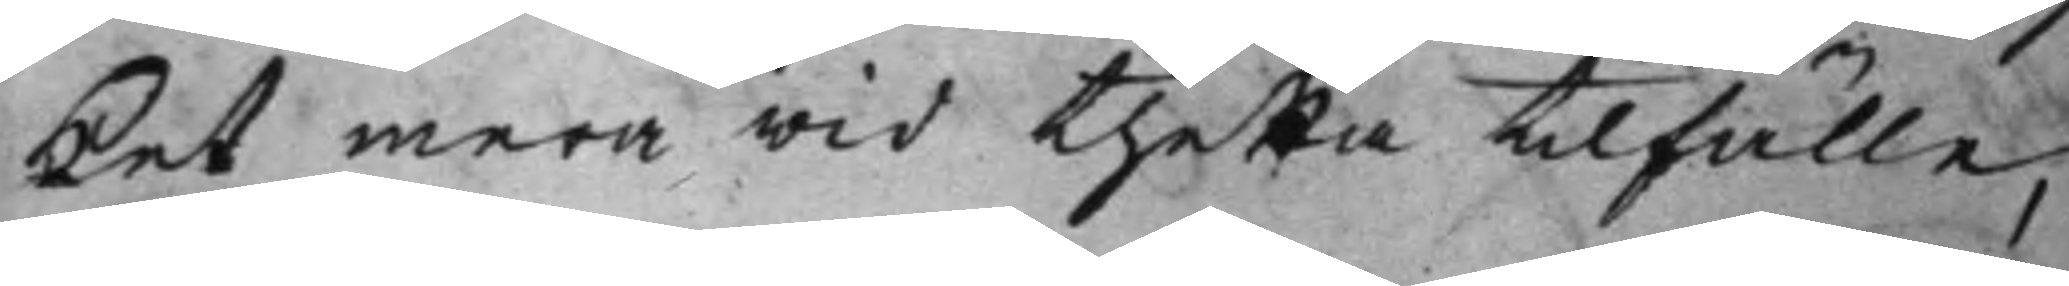ket mera wid thetta tilfälle,
